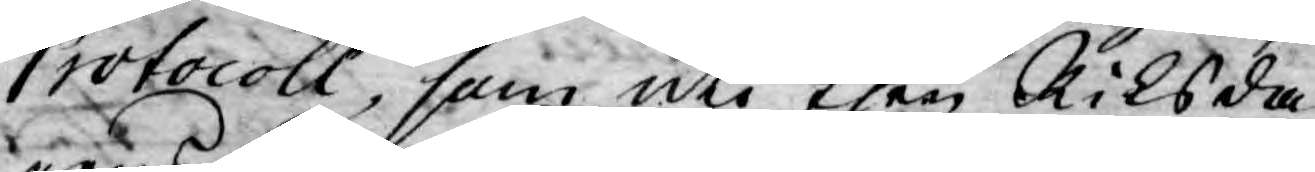Protocoll, som uti then Riksda¬
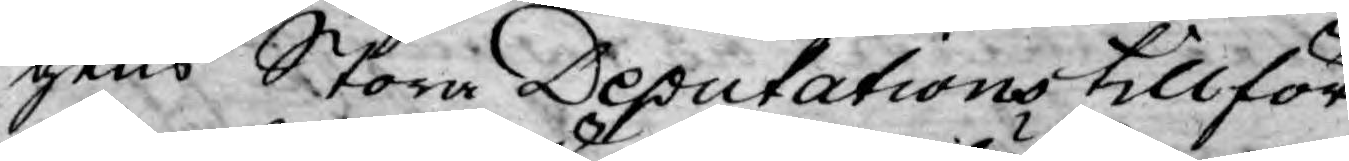gens Stora Deputations tillför¬
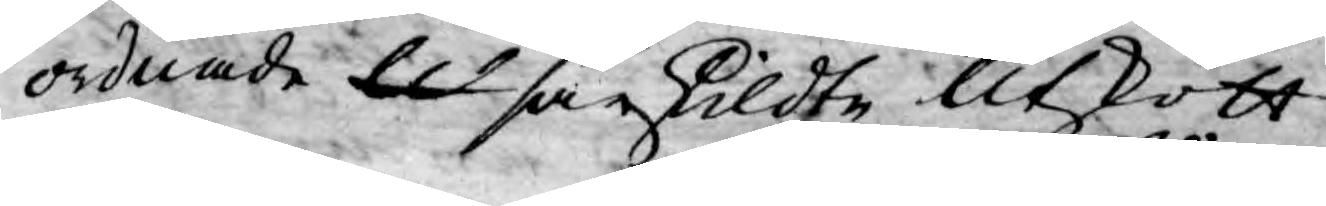ordnade Ut särskildte Utskott
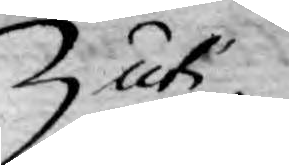uti
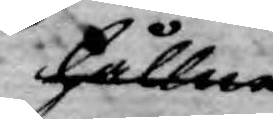hållne
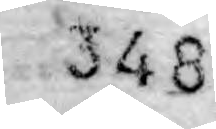348
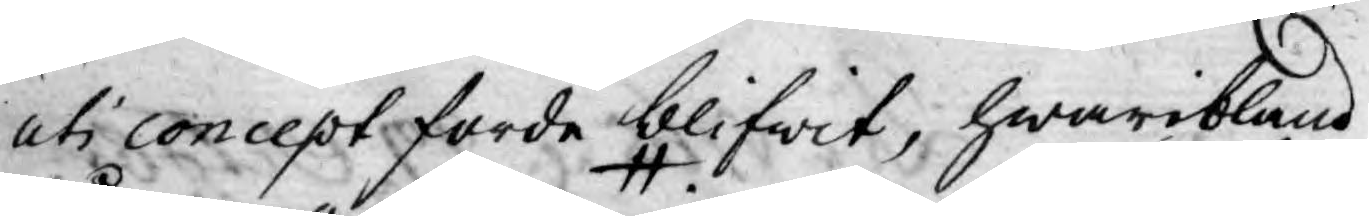uti concept förde blifwit; hwaribland
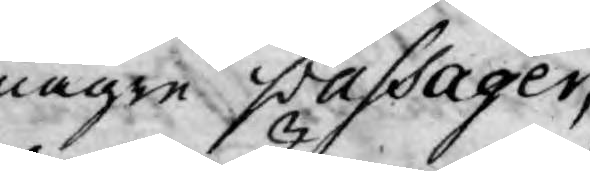någre passager,
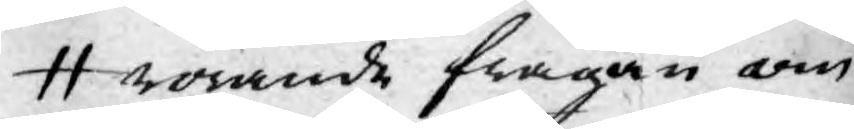rörande frågan om
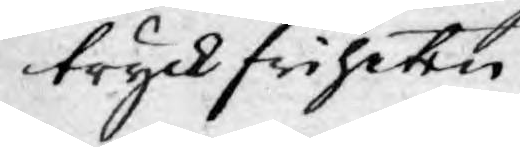tryckfriheten
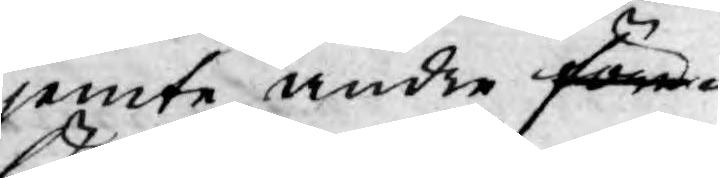jemte andre före¬
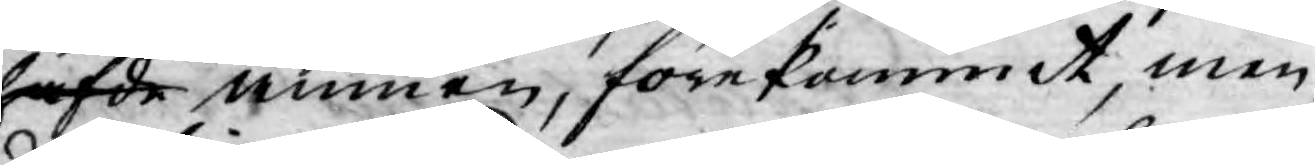hafde ämnen, förekommit, men
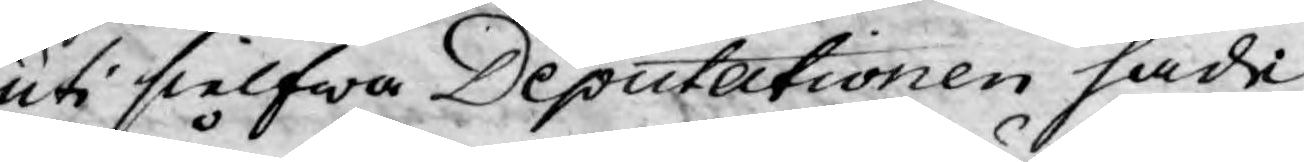uti sielfwa Deputationen hade
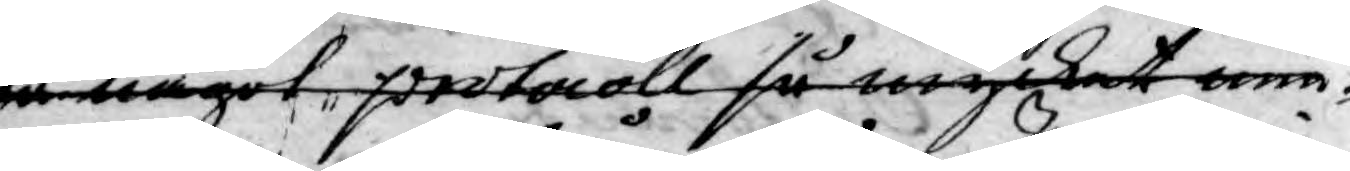så något protocoll så mycket min¬
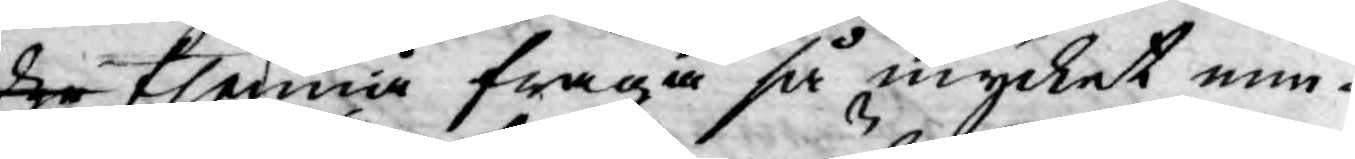dre thenna fråga så mycket min¬
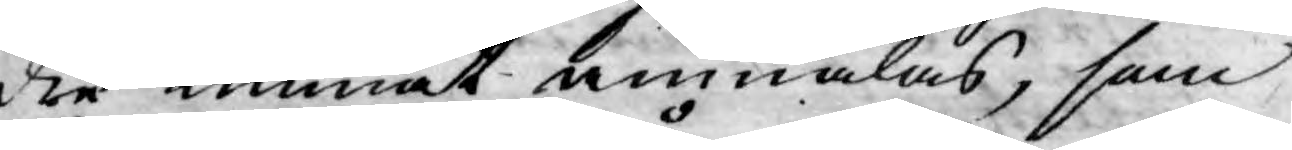dre kunnat anmälas, som
